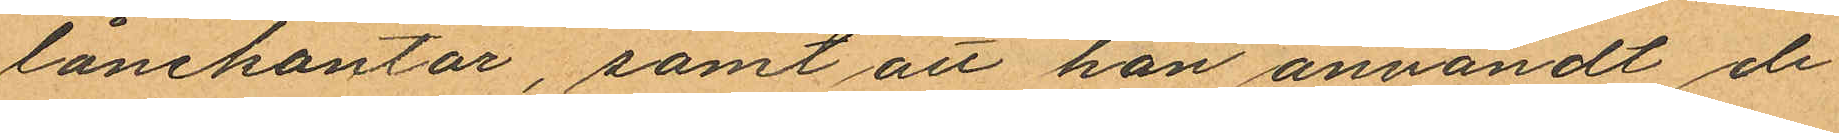lånekontor, samt att han användt de
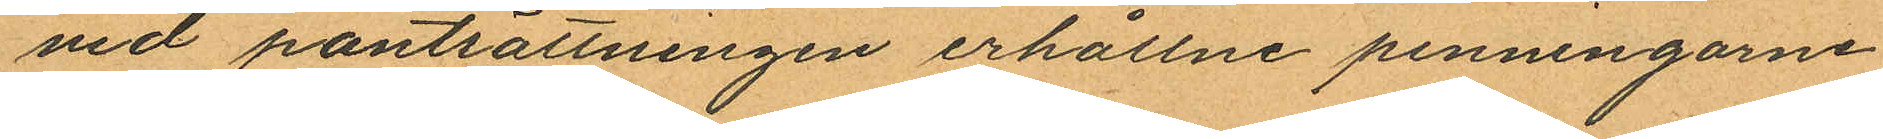vid pantsättningen erhållne penningarne
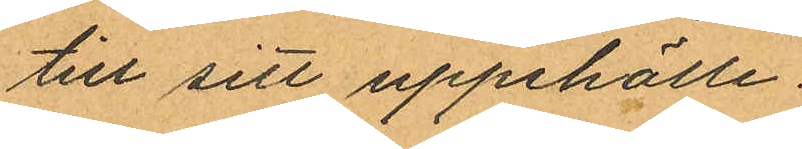till sitt uppehälle.
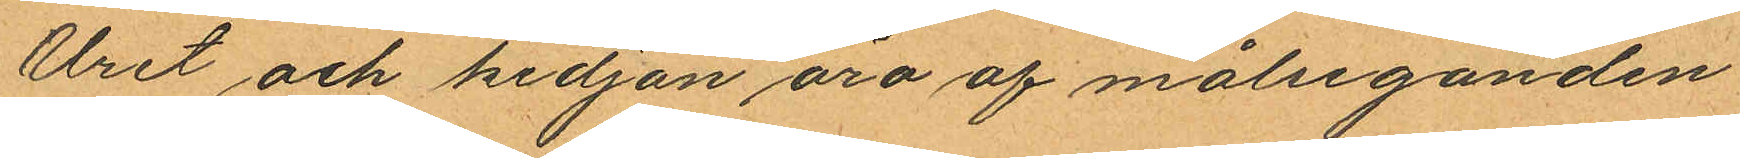Uret och kedjan äro af målseganden
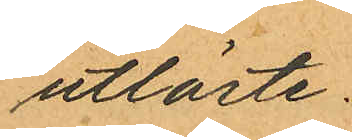utlöste.
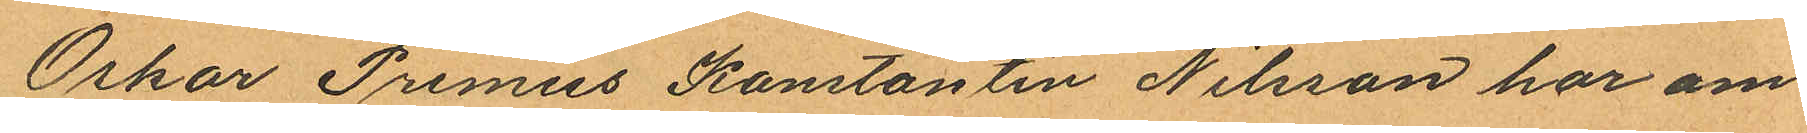Oskar Primus Konstantin Nilsson har om
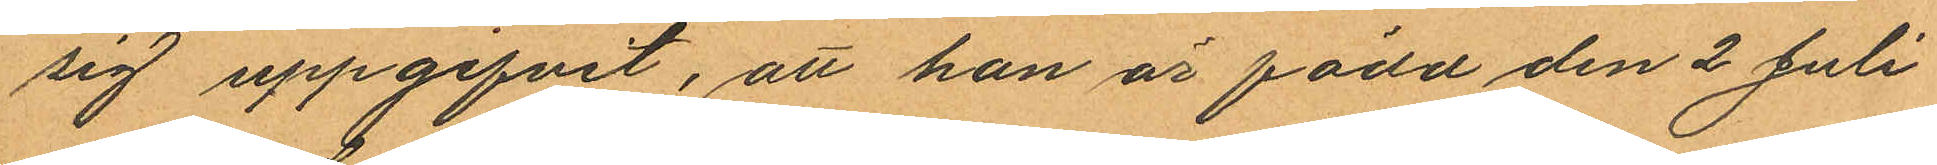sig uppgifvit, att han är född den 2 Juli
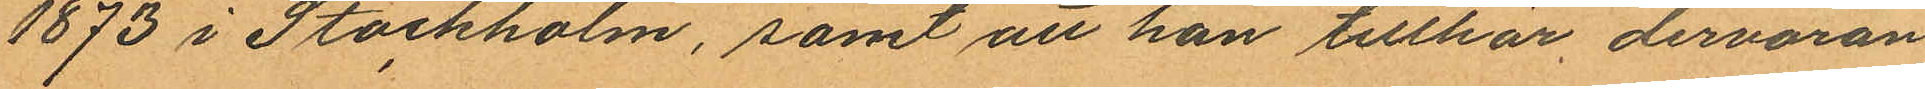1873 i Stockholm, samt att han tillhör, dervaran
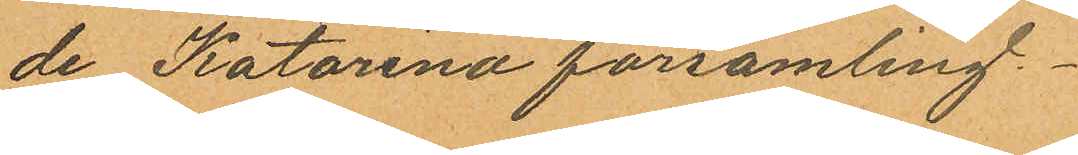de Katarina församling.
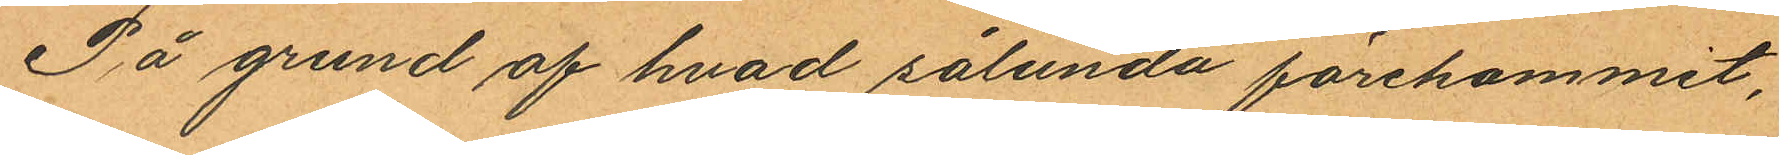På grund af hvad sålunda förekommit,
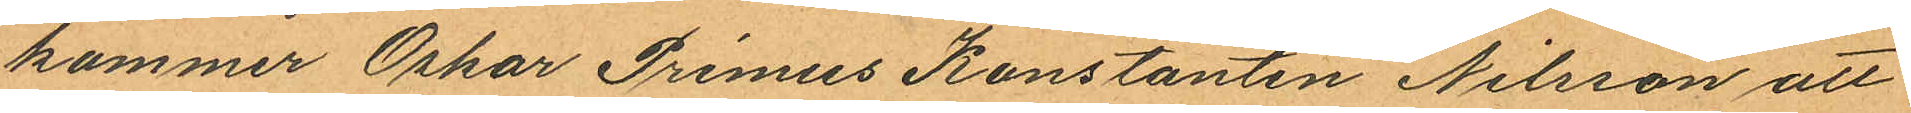kommer Oskar Primus Konstantin Nilsson att
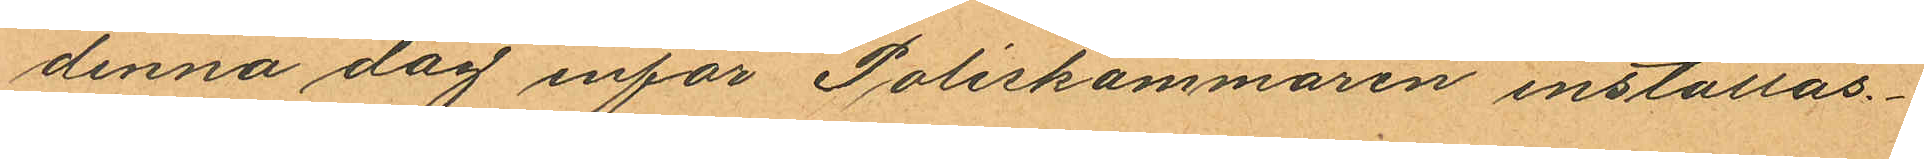denna dag inför Poliskammaren inställas.
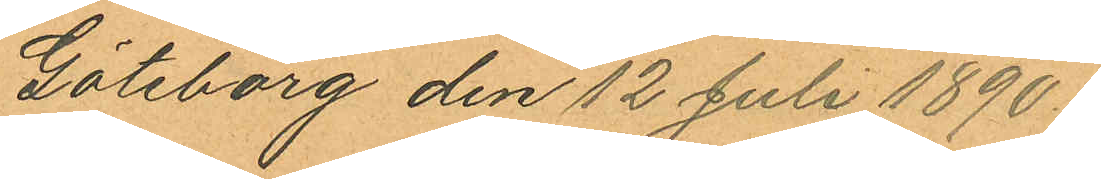Göteborg den 12 Juli 1890.
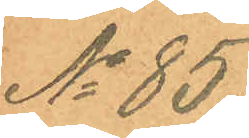No 85.
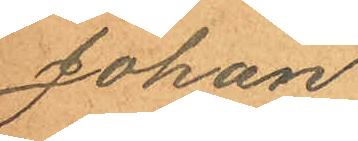Johan
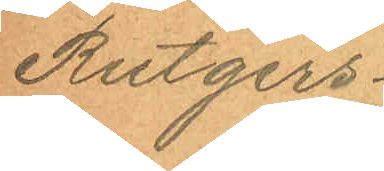Rutgers¬
